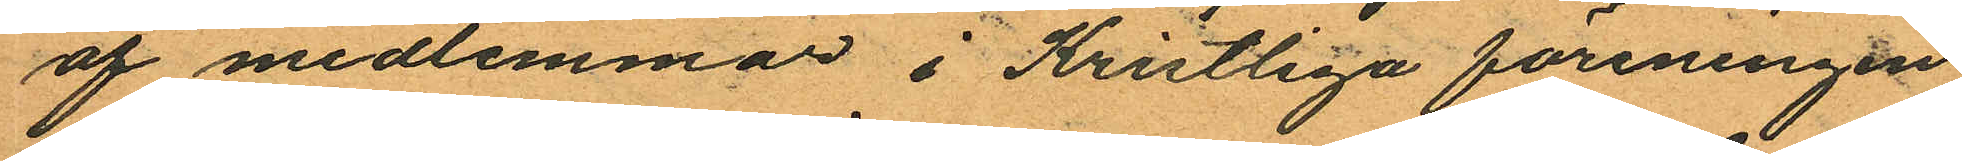af medlemmar i Kristliga föreningen
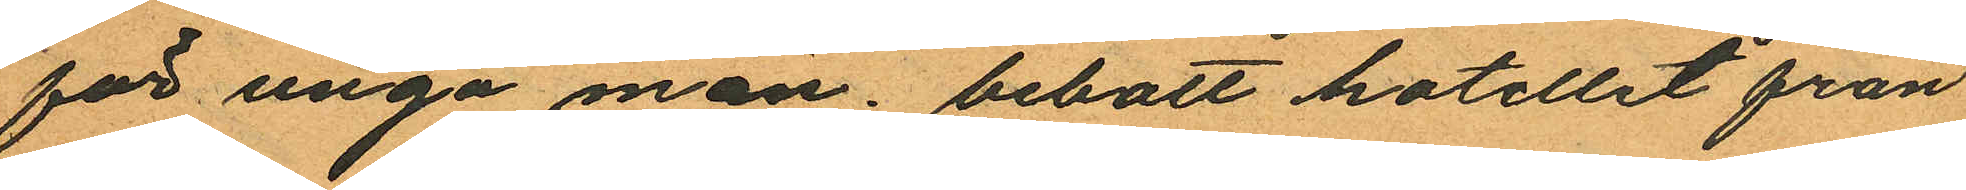för unga män bebott hotellet från
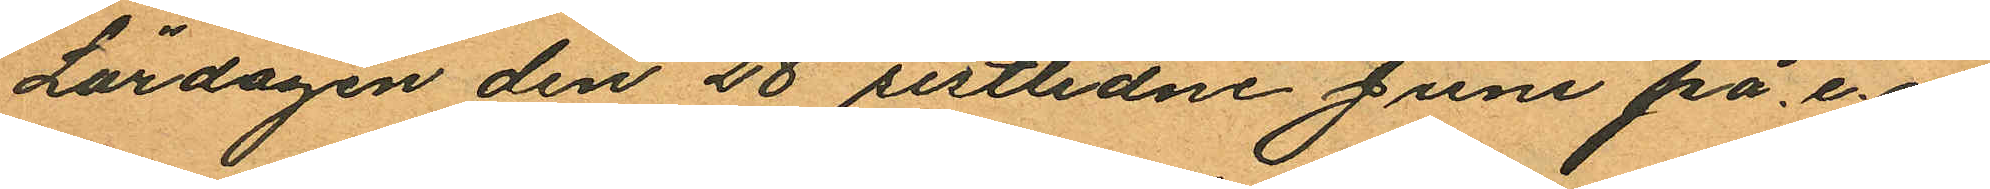Lördagen den 28 sistlidne Juni på e.m.
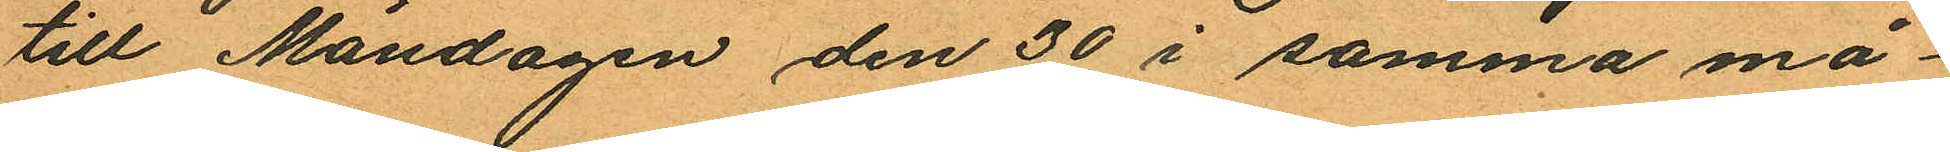till Måndagen den 30 i samma må¬
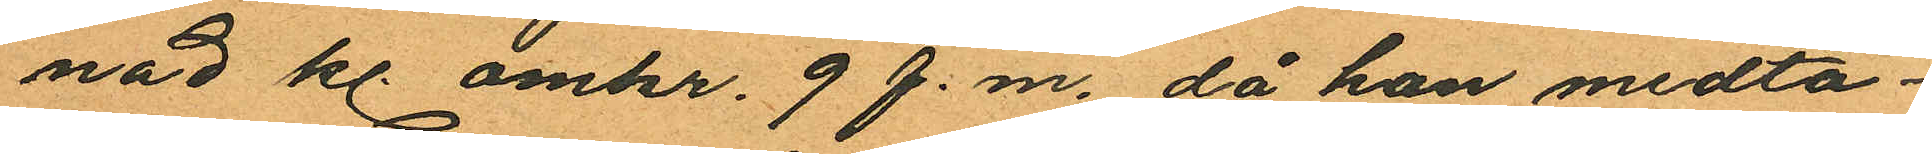nad kl. omkr. 9 f.m. då han medta¬
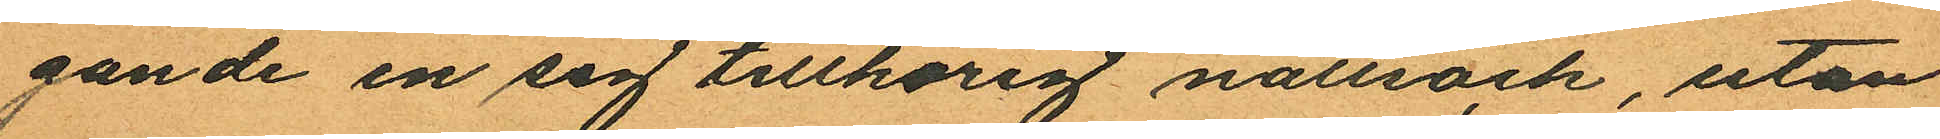gande en sig tillhörig nattsäck, utan
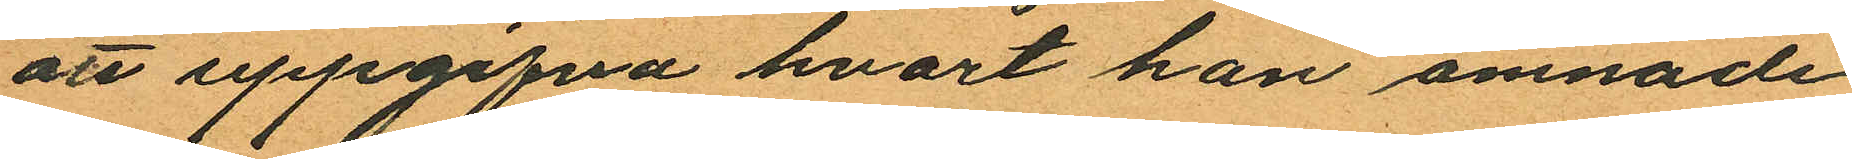att uppgifva hvart han ämnade
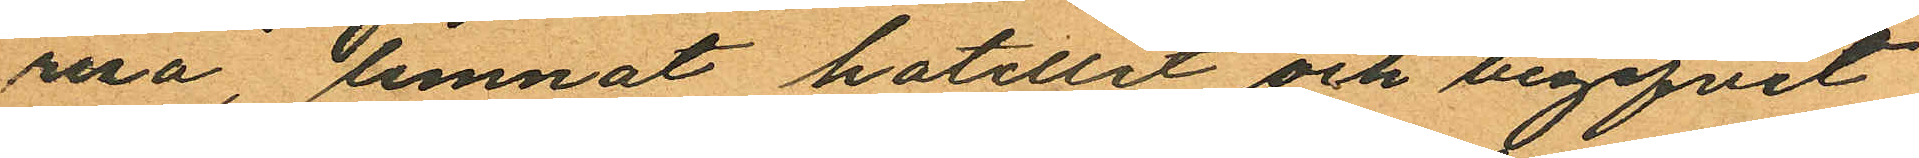resa, lemnat hotellet och begifvit
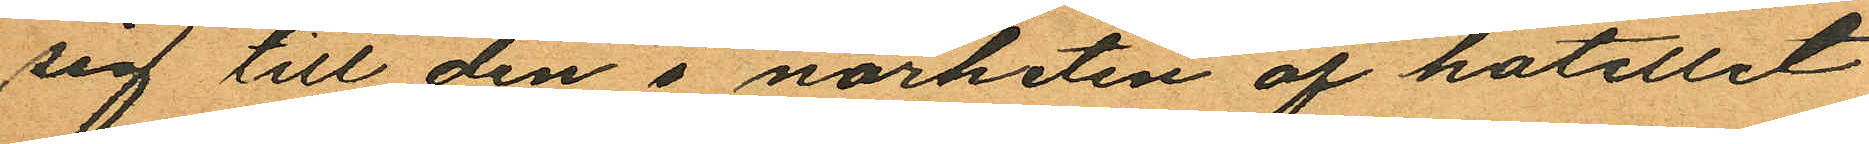sig till den i närheten af hotellet
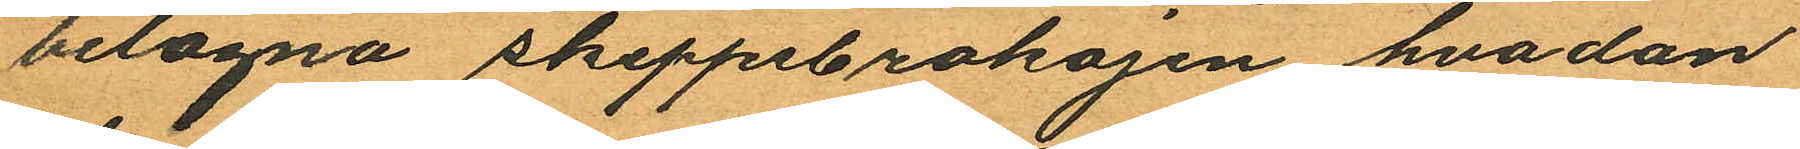belägna skeppsbrokajen, hvadan
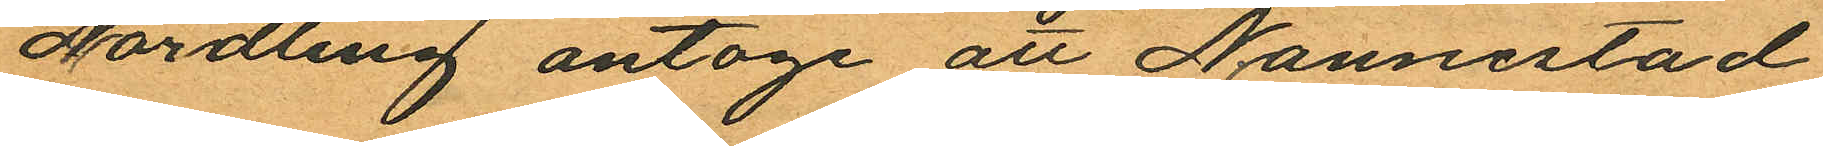Nordling antoge att Nannestad
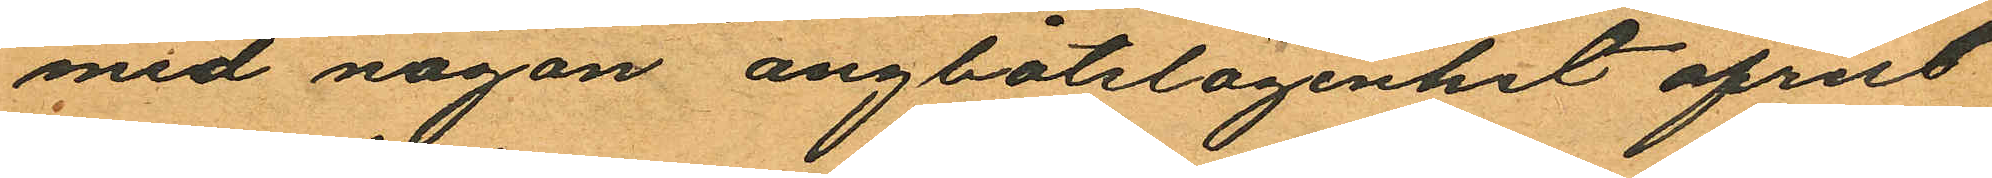med någon angbåtslägenhet afrest
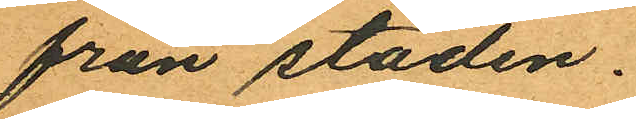från staden.
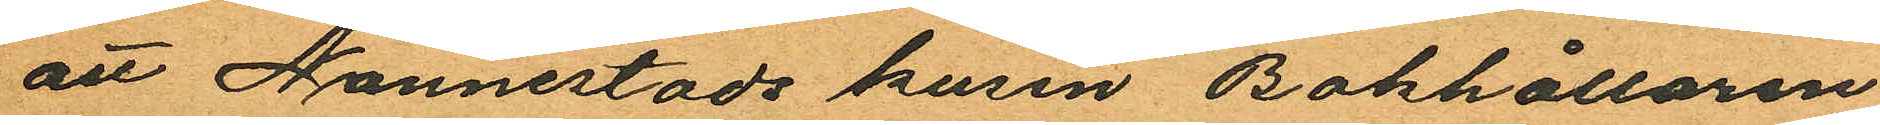att Nannestads kusin Bokhållaren
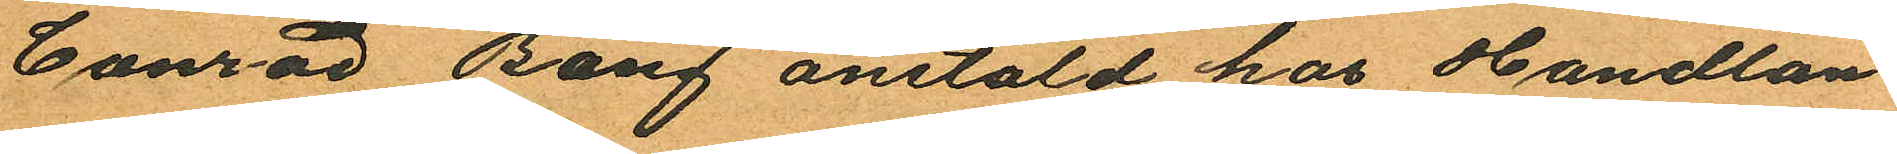Canrad Bang anstäld hos Handlan¬
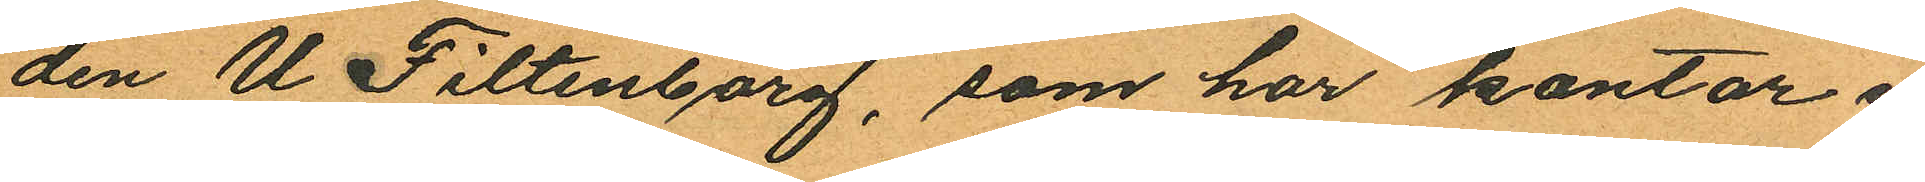den U. Filtenborg, som har kontor i
